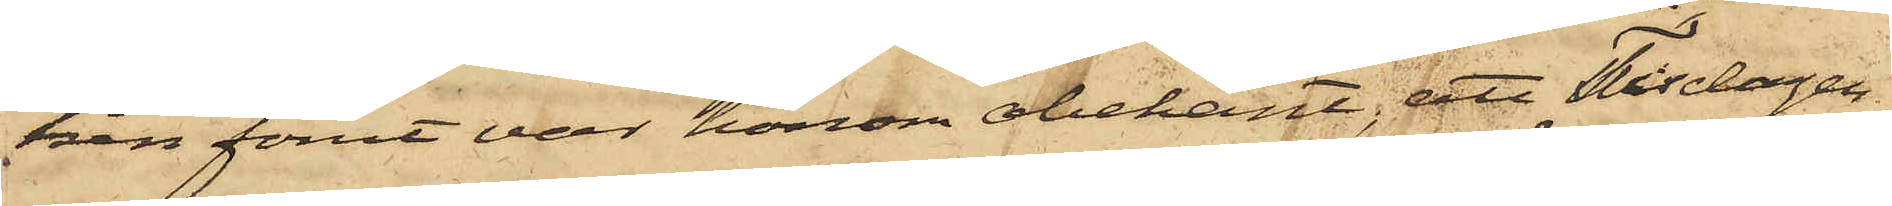ken förut var honom obekant; att Tisdagen
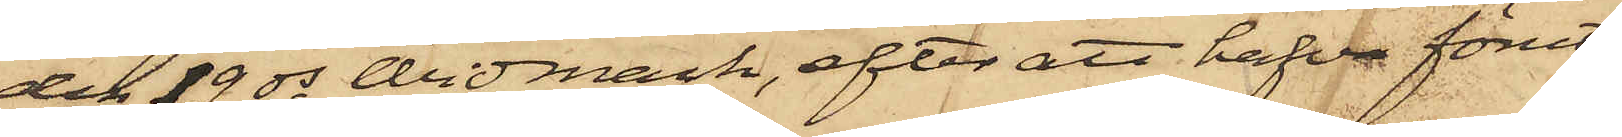den 19 ds Widmark, efter att hafva förut
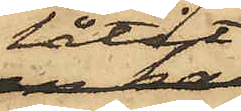låtit
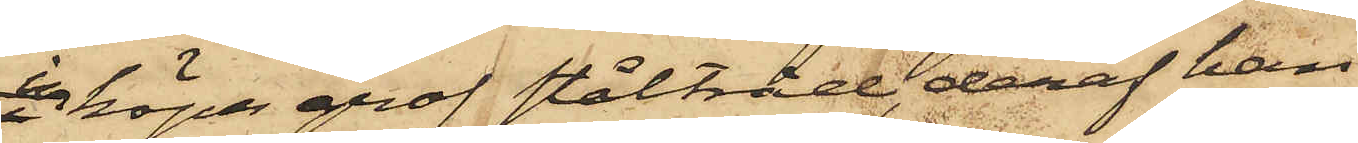inköpa grof ståltråd, deraf han
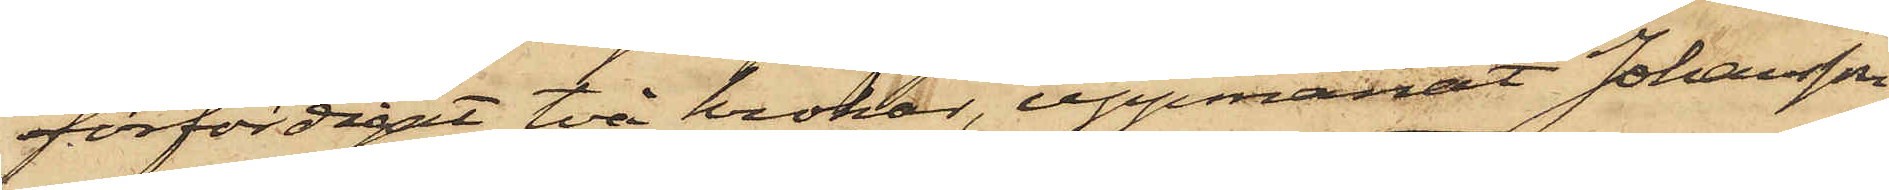förfärdigat två krokar, uppmanat Johansson
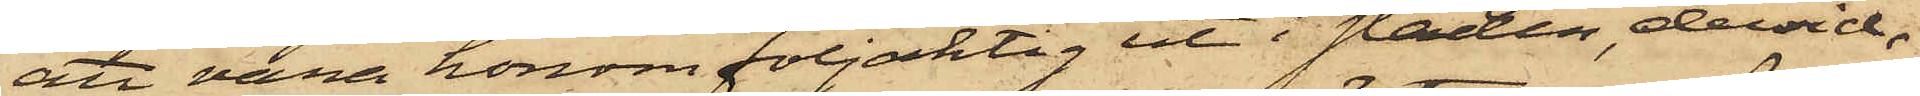att vara honom följaktig ut i staden, dervid,
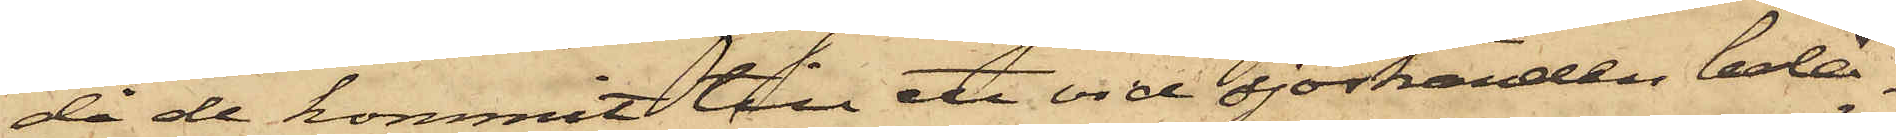då de kommit till ett vid sjöstranden belä¬
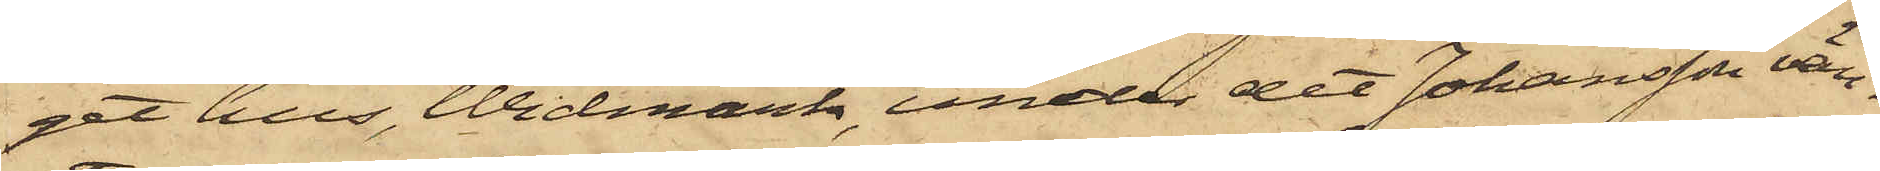get hus, Widmark, under det Johansson vän¬
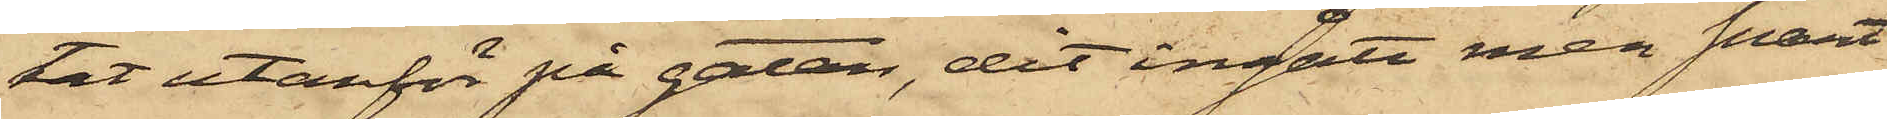tat utanför på gatan, dit ingått men snart
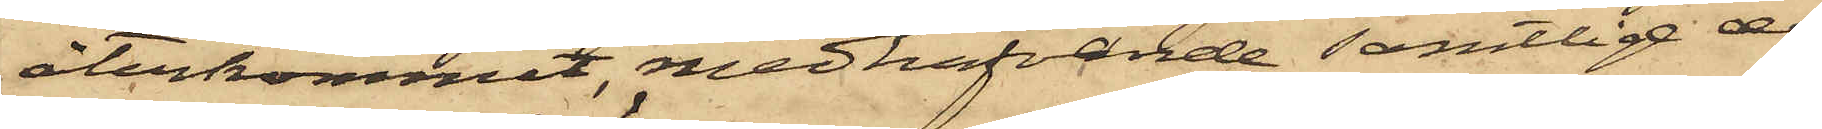återkommit, medhafvande samtlige de
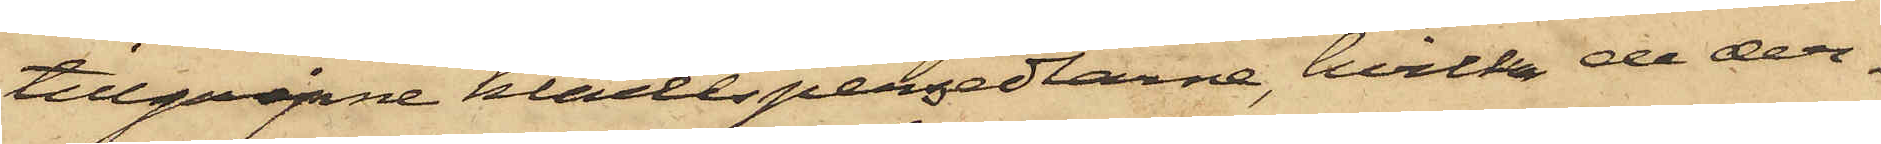tillgripne klädespersedlarne, hvilka de der¬
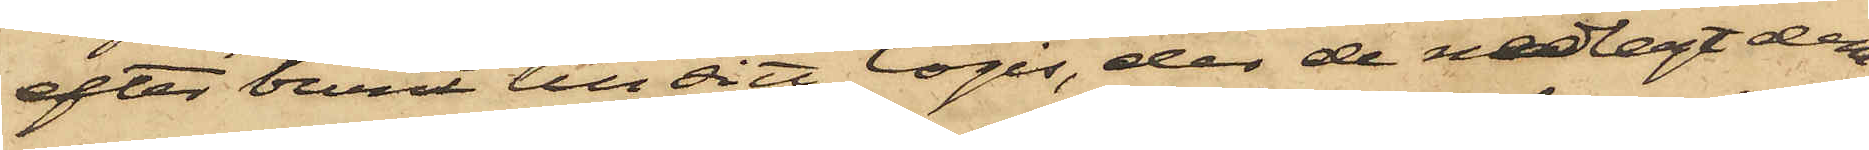efter burit till sitt logis, der de nedlagt dem
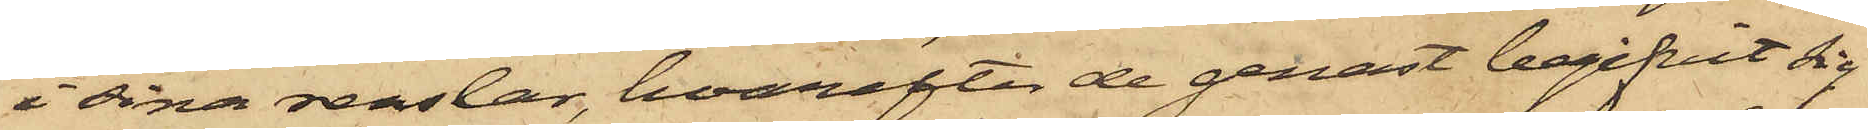i sina renslar, hvarefter de genast begifvit sig
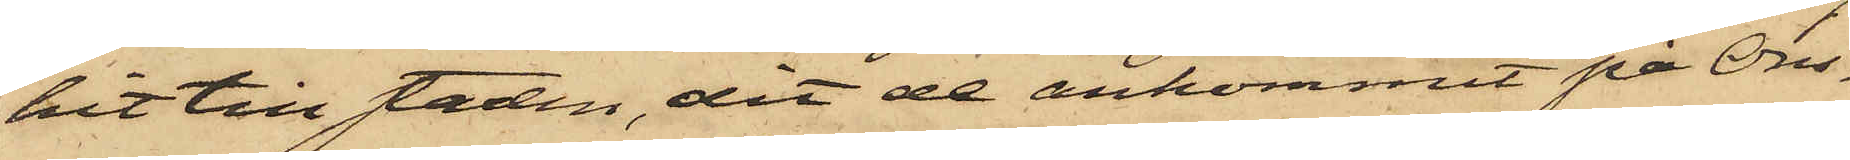hit till staden, dit de ankommit på Ons¬
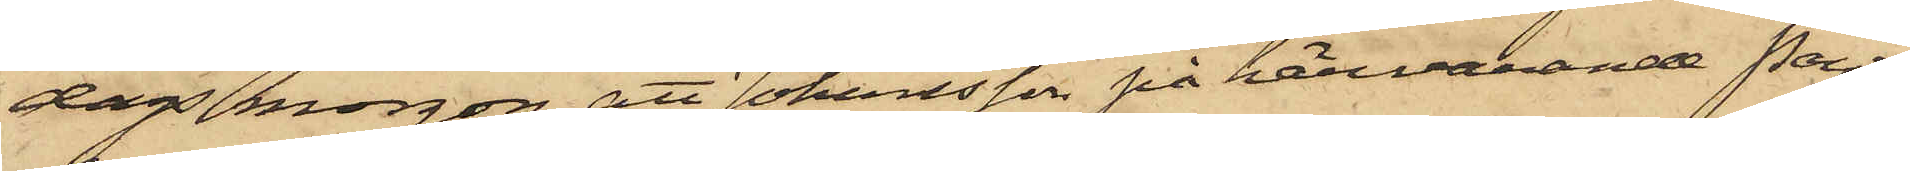dags morgon; att Johansson på härvarande Pant¬
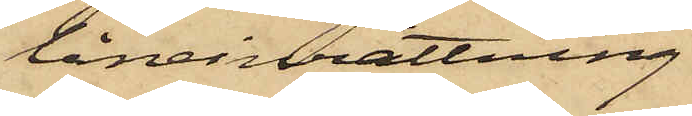låneinrättning
